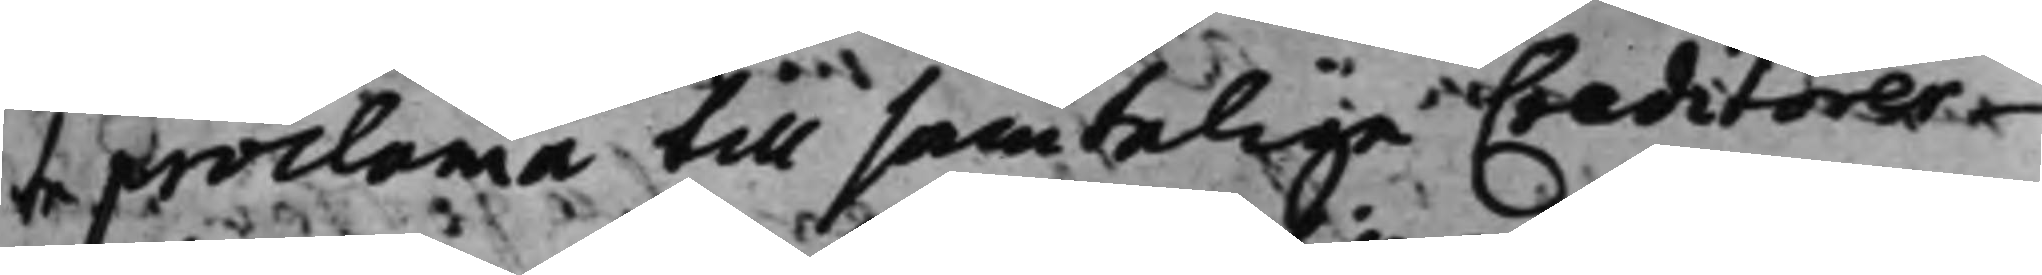te proclama till samtelige Creditorer
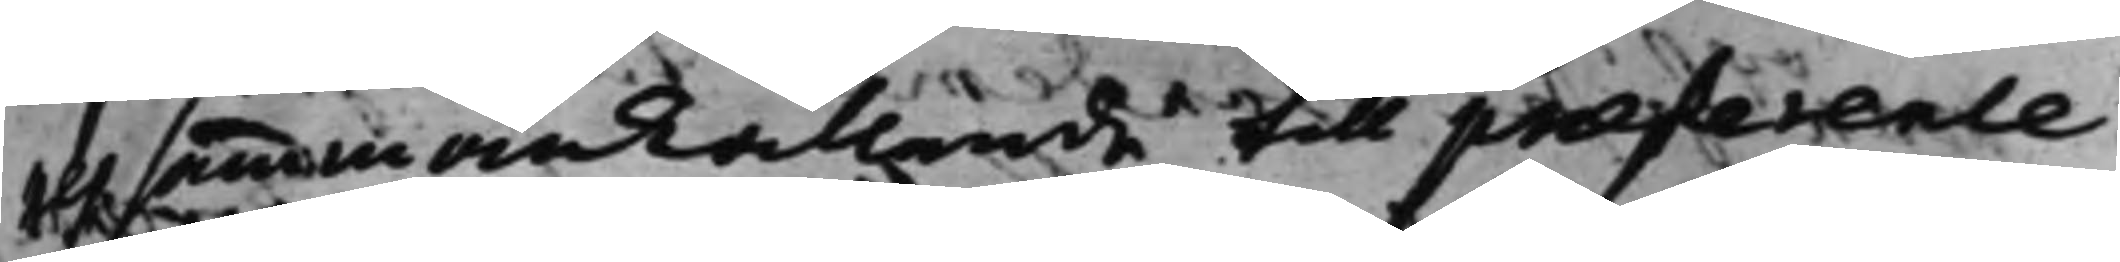ett sammankallande till præference
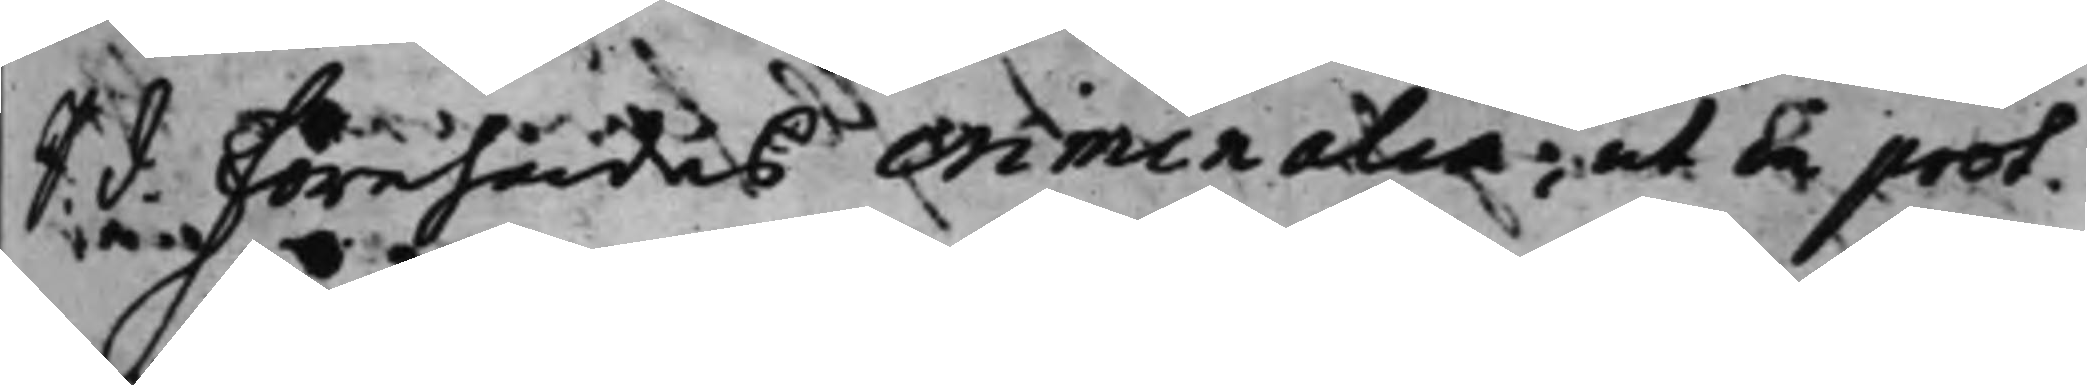S. d. Förehades criminalia, ut in prot.
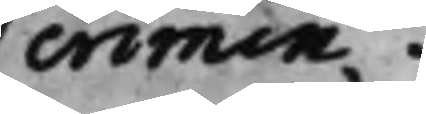crimin.
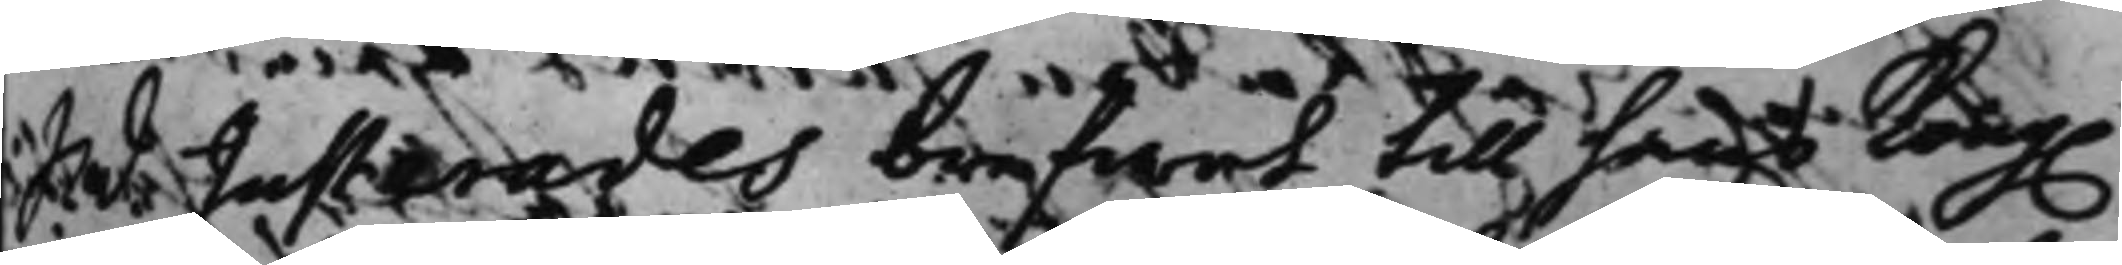S. d. Justerades brefwet till hans Kong.
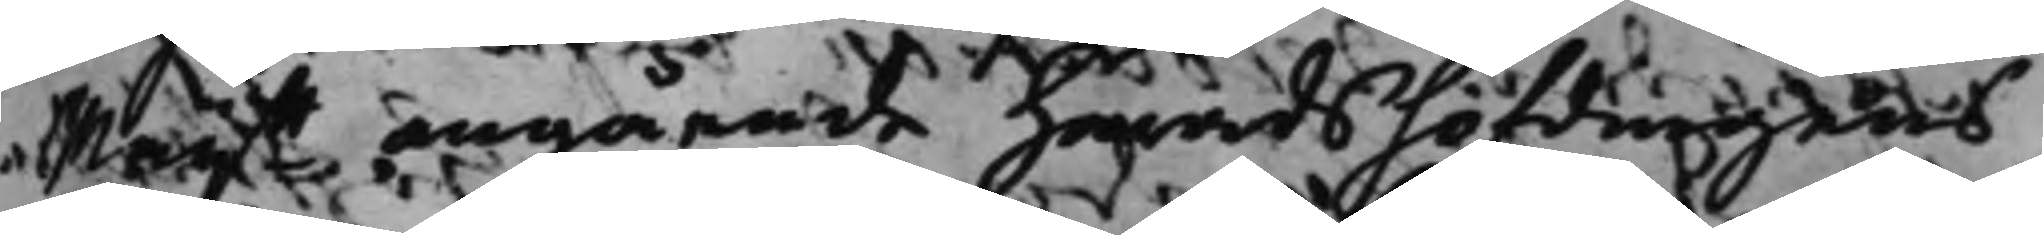Maijtt angående Häradshöfdingens
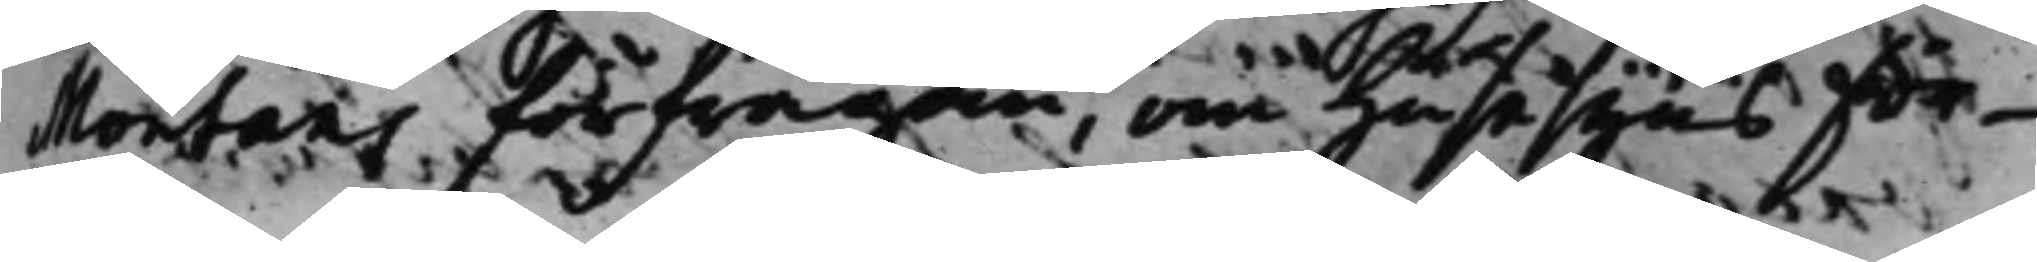Montans förfrågan, om husesyns för¬
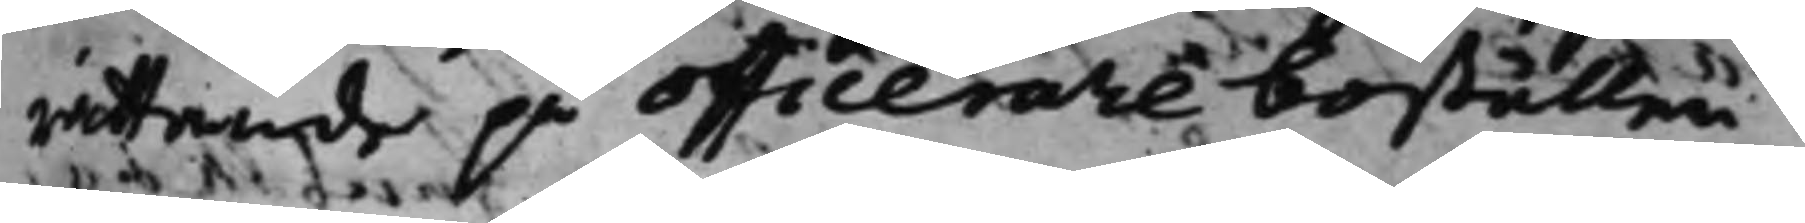rättande på officerare boställen.
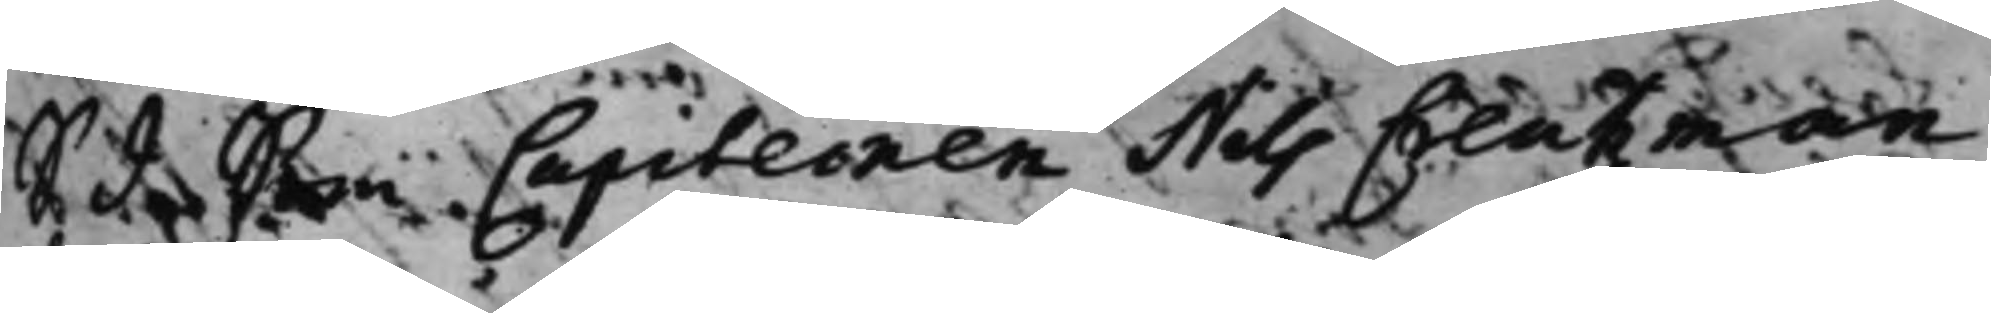S. d. Som Capiteinen Nils Creutzman
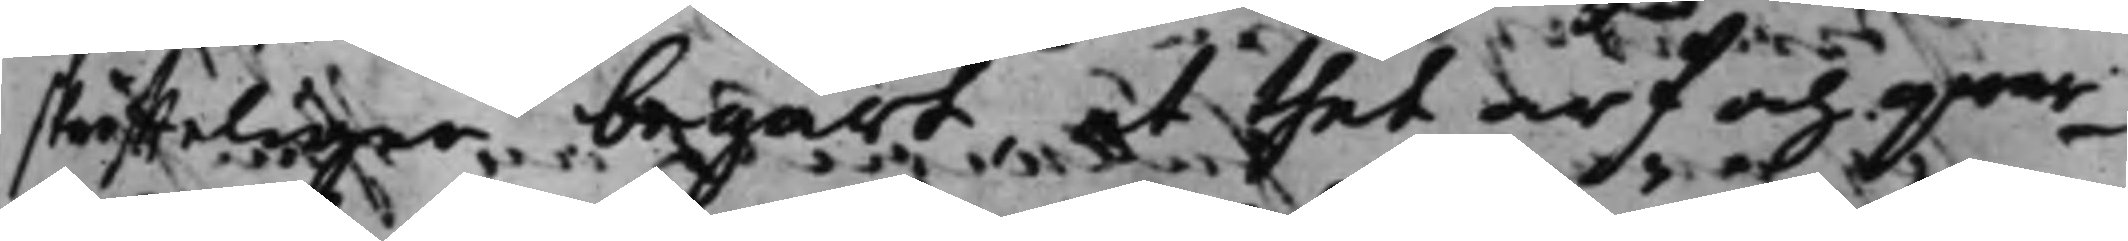skriffteligen begärt, at thet arf och qwar¬
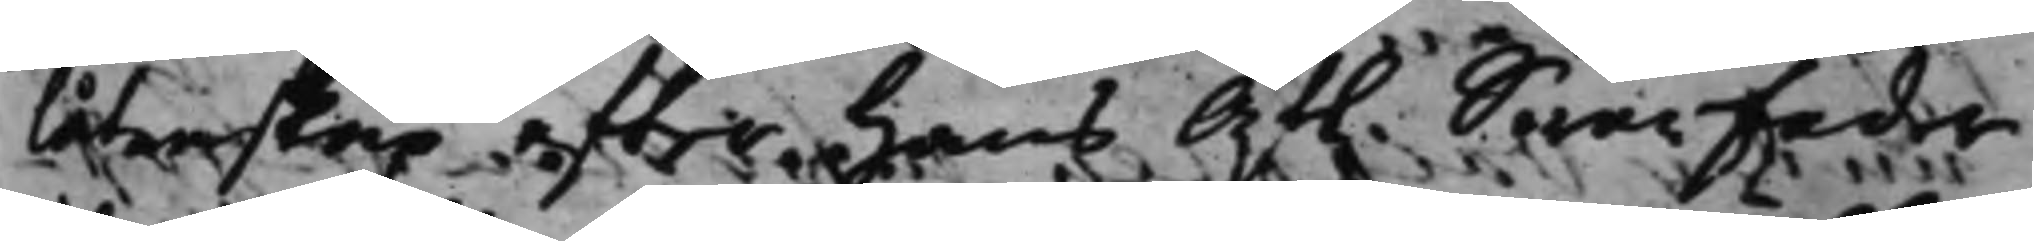låtenskap efter hans Af. Swärfader
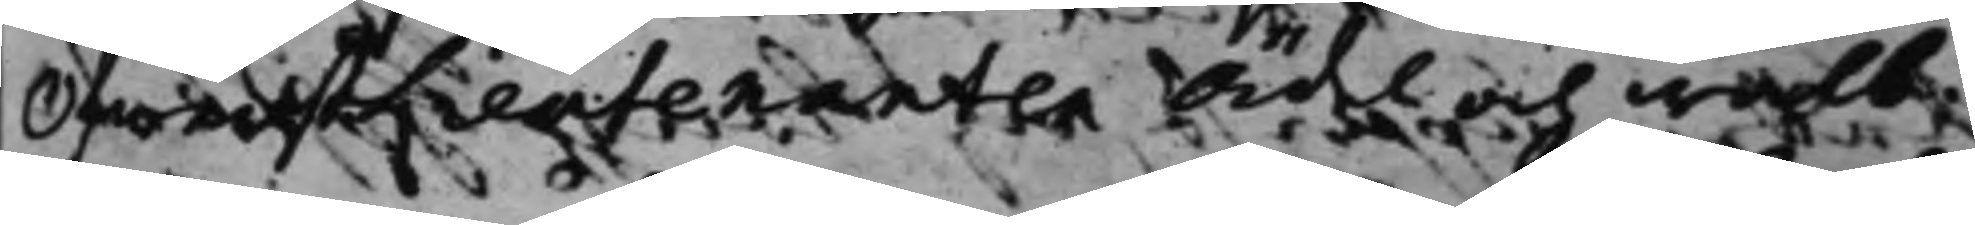ÖfwerstLieutenanten Ädel och wälb.
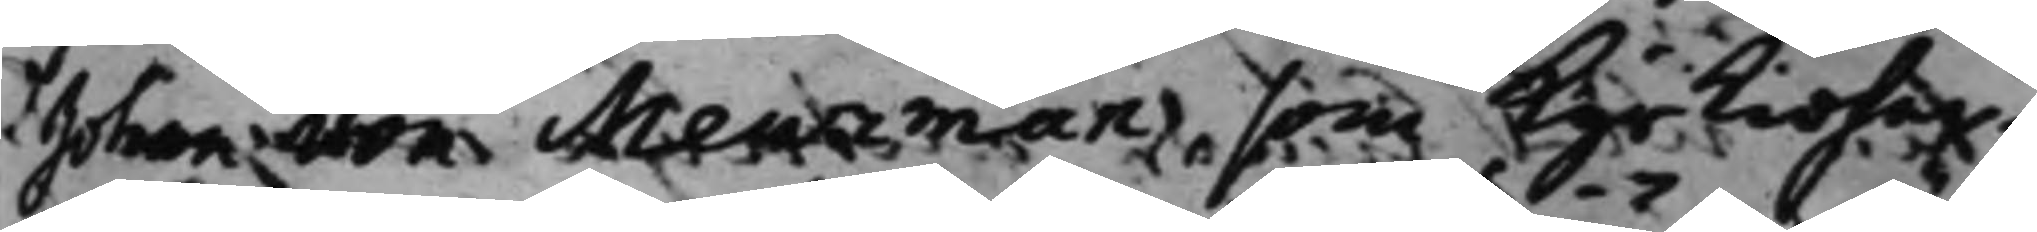Johan von Meurman, som Kyrkioher¬
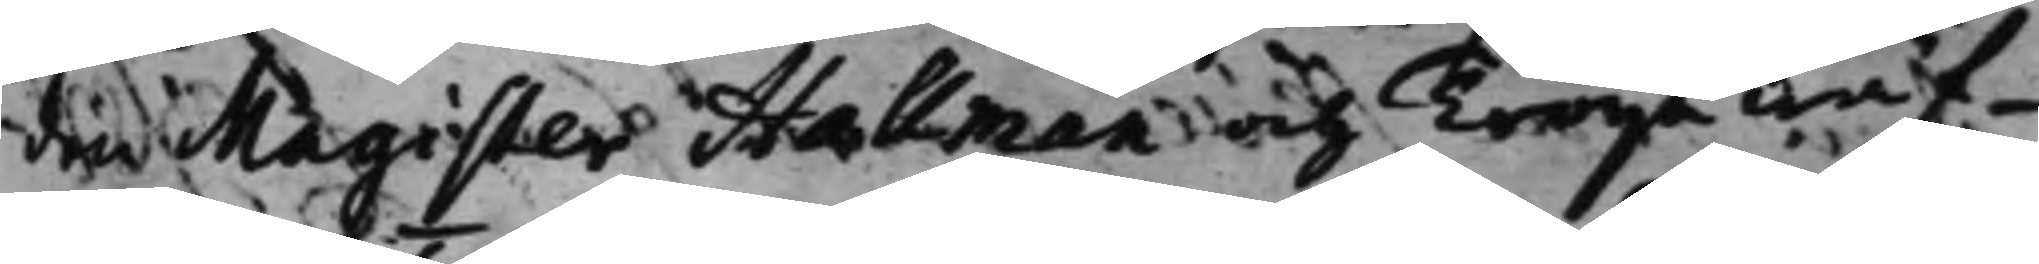de Magister Hallman och Tröija wäf¬
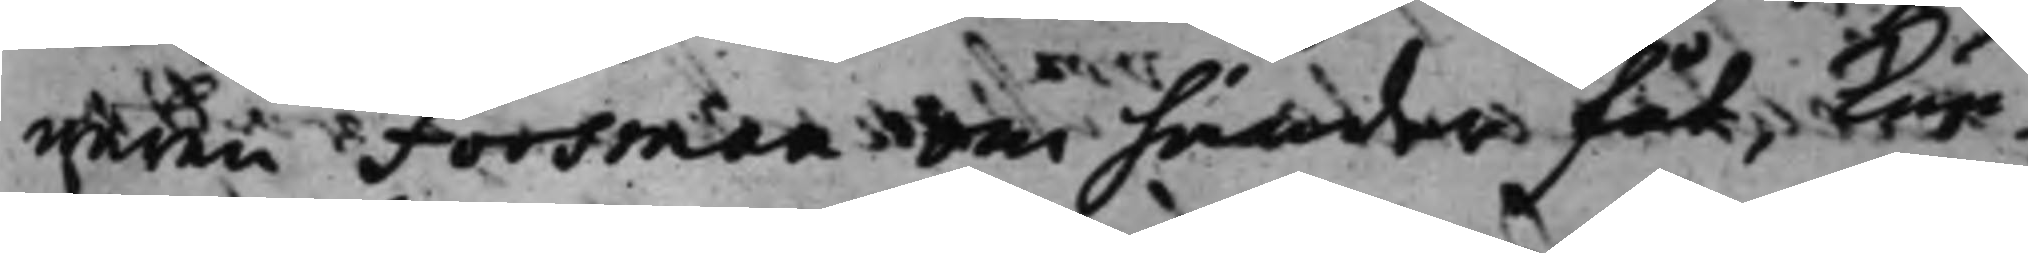waren Forsman om händer fåt, kun¬
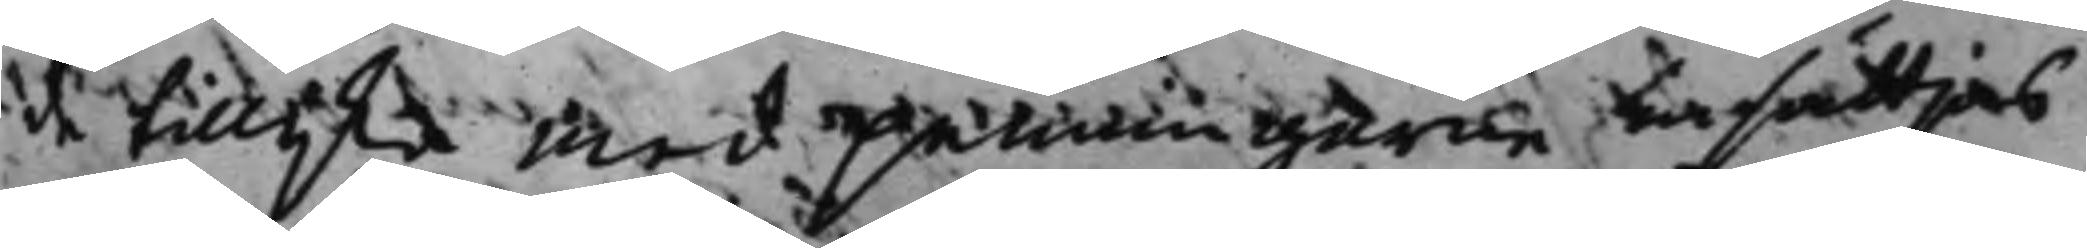de tillijka med penningarne sättjas
